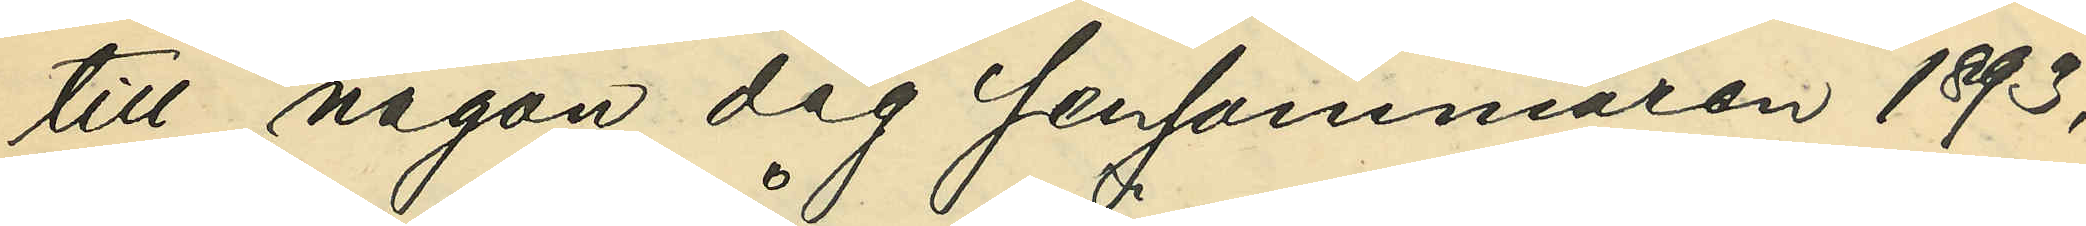till någon dag sensommaren 1893,
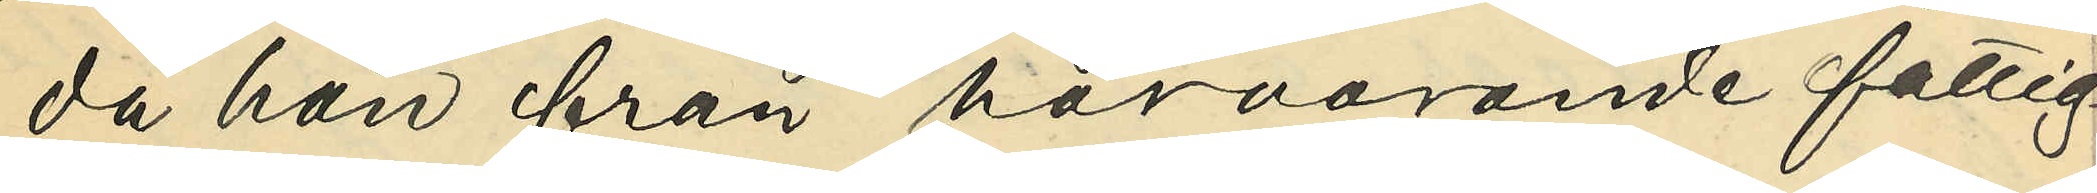då han från härvarande fattig¬
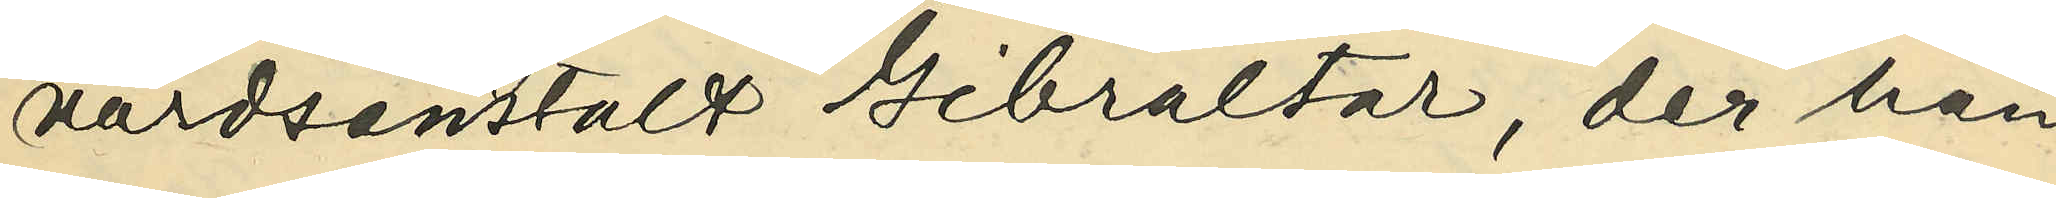vårdsanstalt Gibraltar, der han
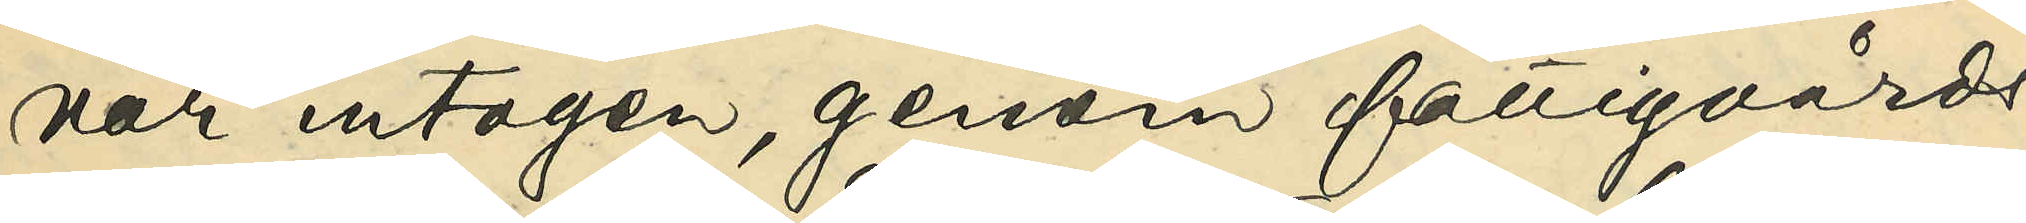var intagen, genom fattigvårds¬
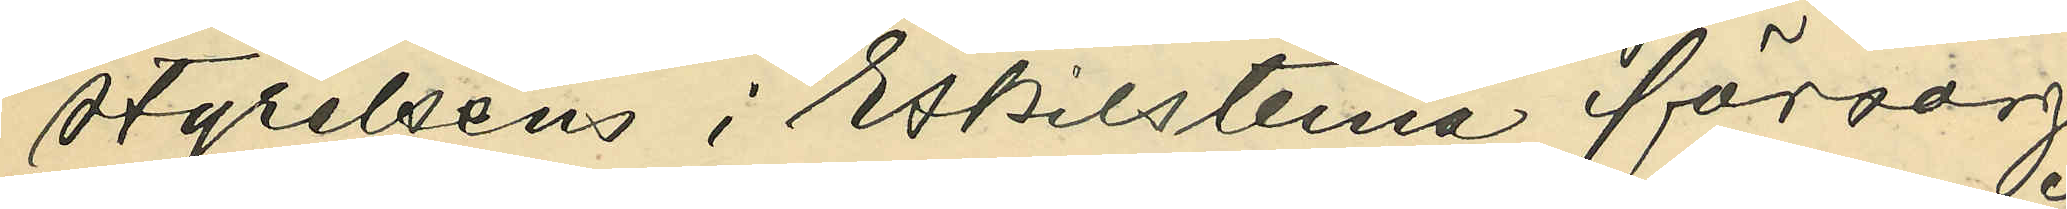styrelsens i Eskilstuna försorg
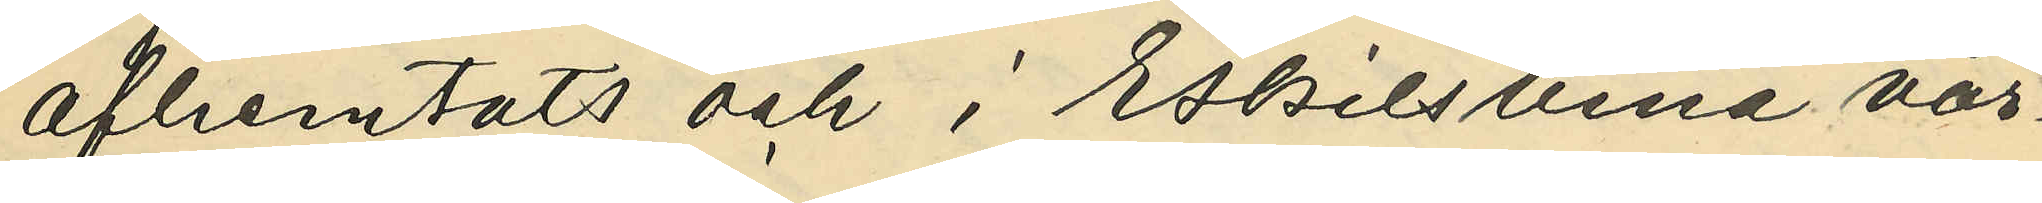afhemtats och i Eskilstuna vår¬
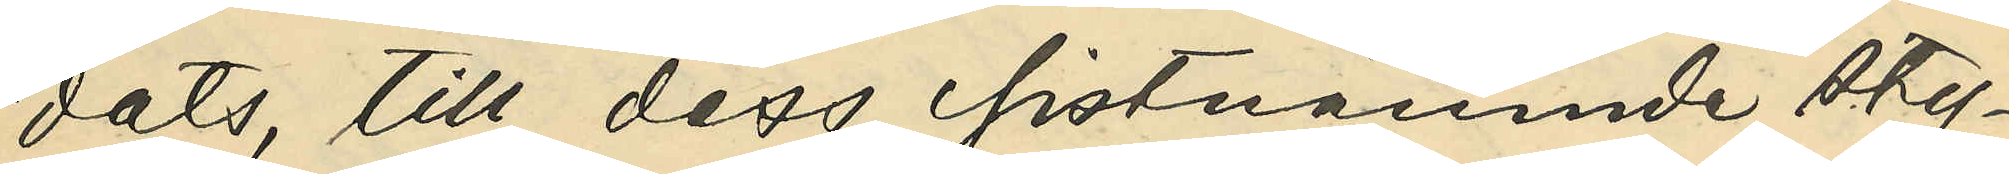dats, till dess sistnämnde sty¬
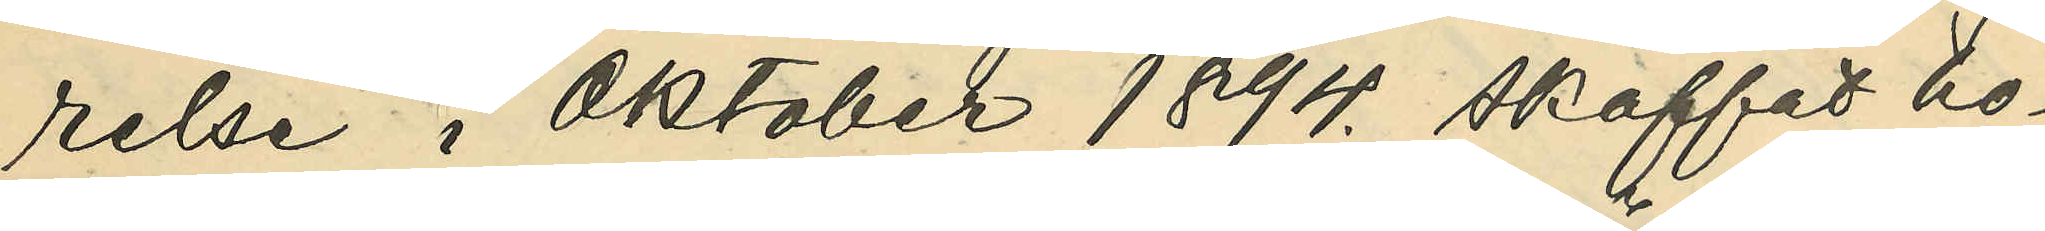relse i Oktober 1894. skaffat ho¬
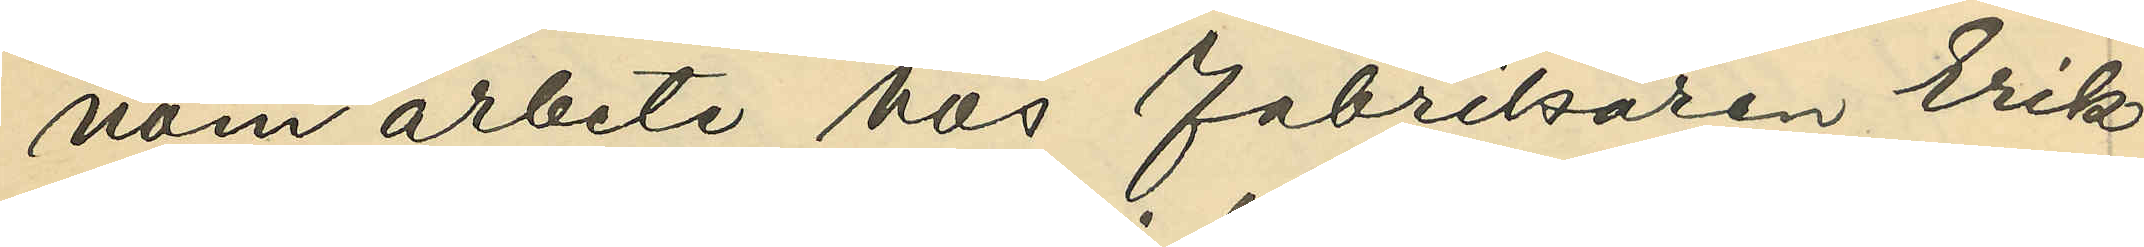nom arbete hos fabrikören Erik
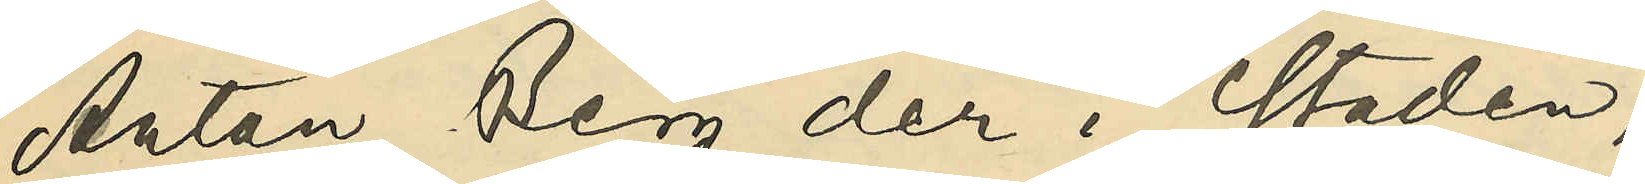Anton Berg der i staden;
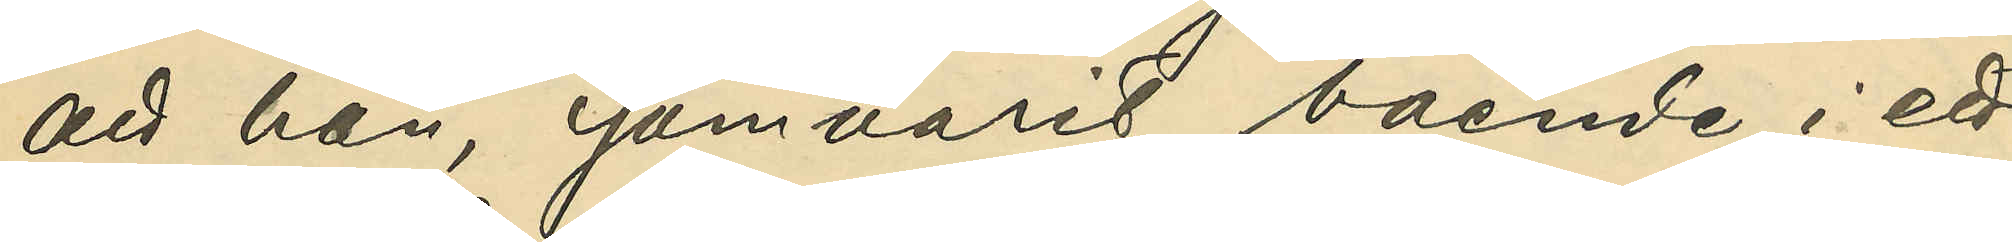att han, som varit boende i ett
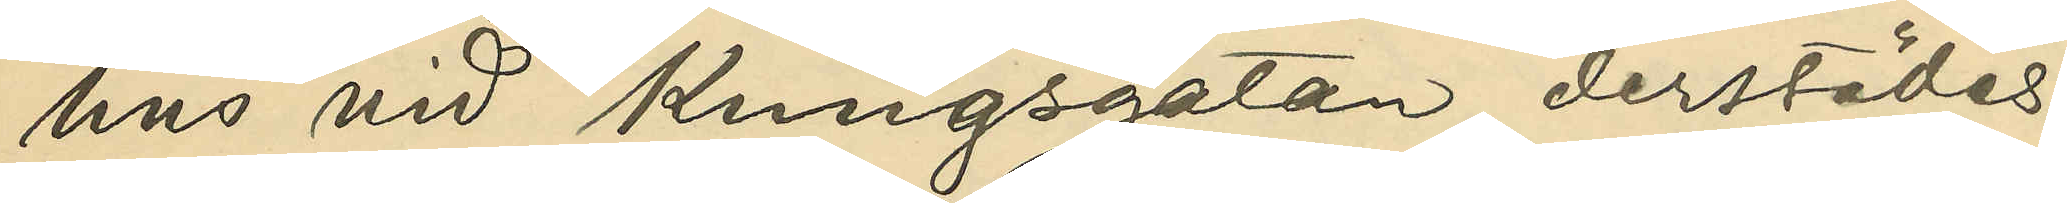hus vid Kungsgatan derstädes,
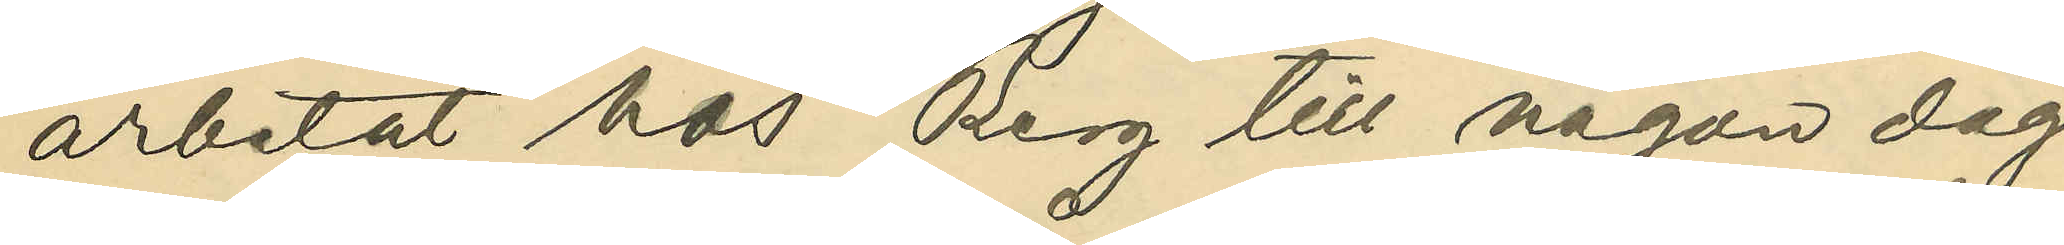arbetat hos Berg till någon dag
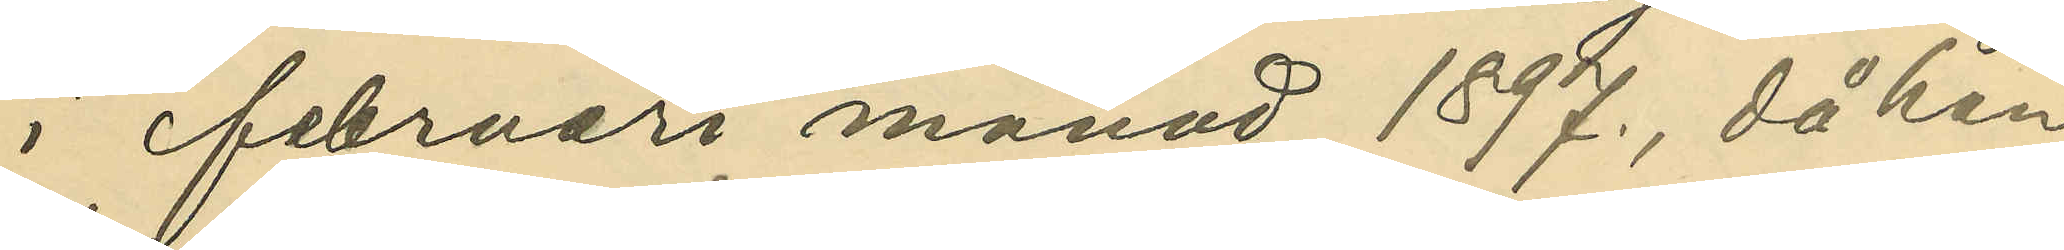i februari månad 1897., då han
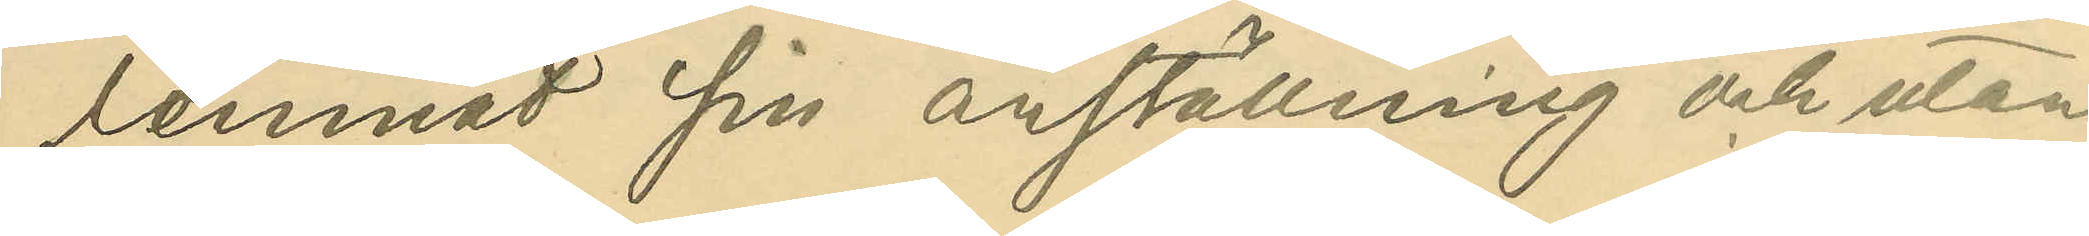lemnat sin anställning och utan
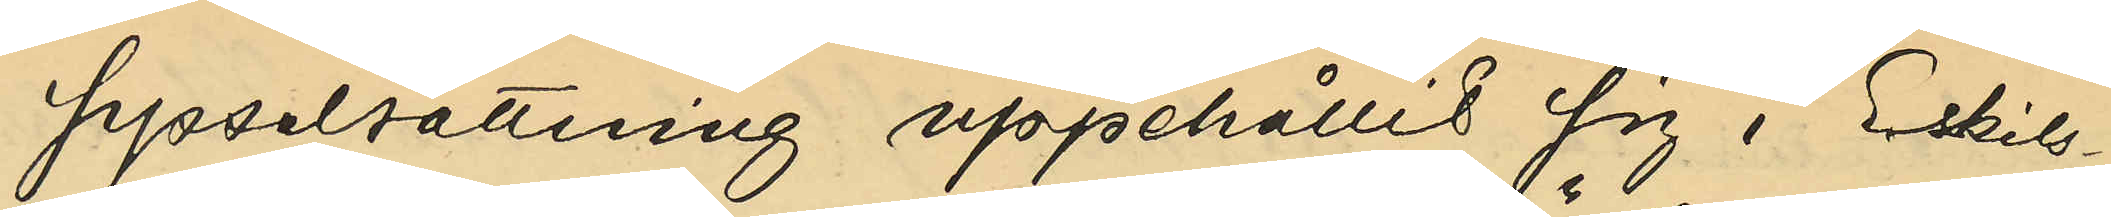sysselsättning uppehållit sig i Eskils¬
